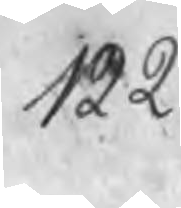122
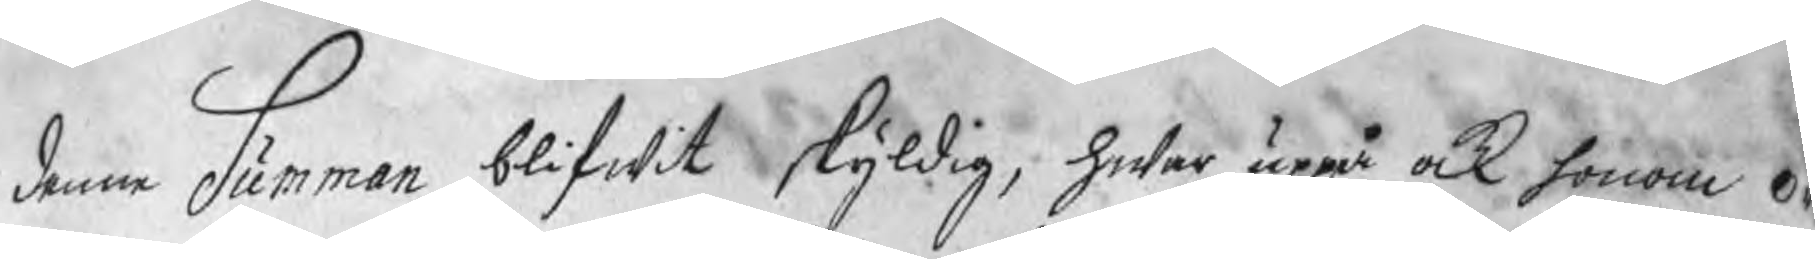denne Summan blifwit skyldig, hwar uppå ock honom or¬
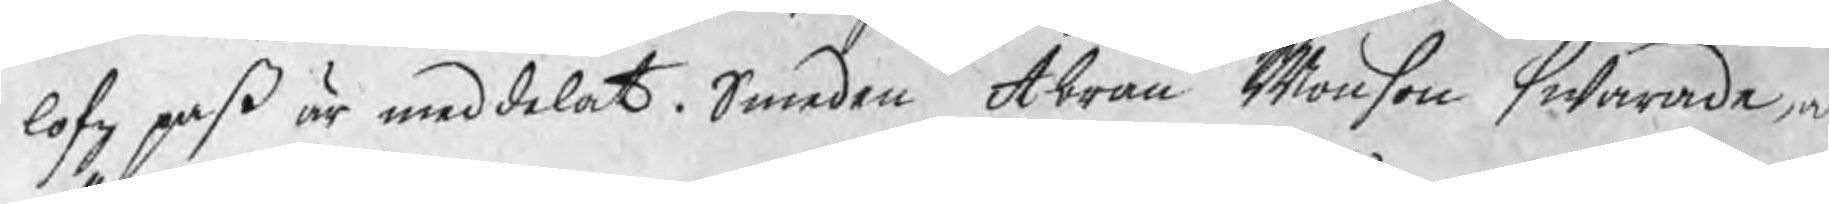lofz paß är meddelat. Smeden Abram Monson swarade a
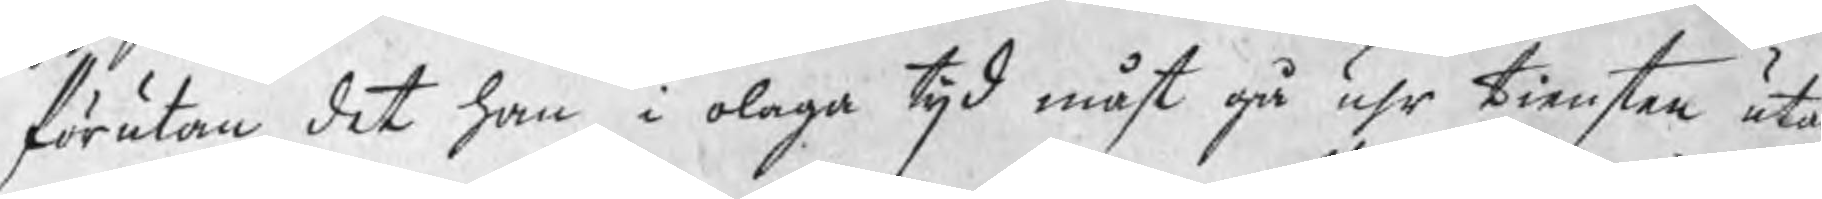förutan det han i olaga tijd måst gå uhr tiensten utan
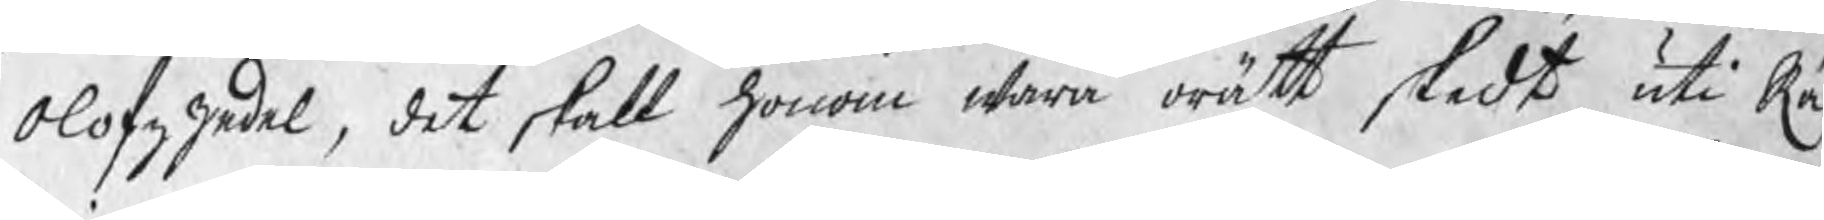Olofzzedel, det skall honom wara orätt skedt uti Rä
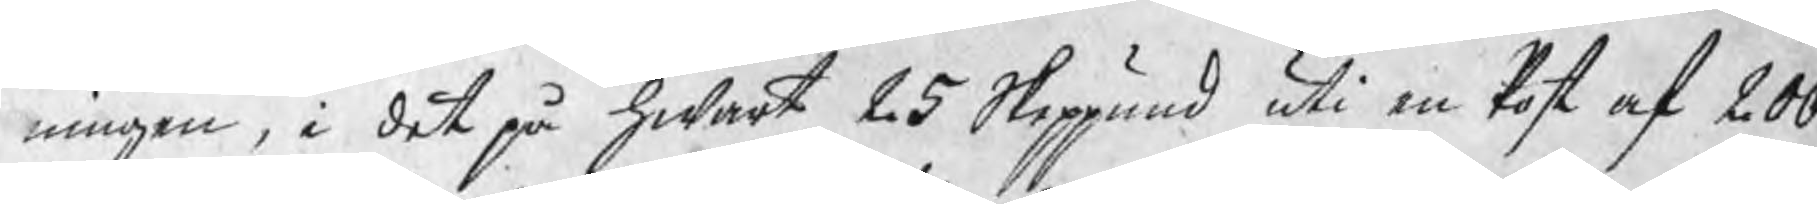ningen, i det på hwart 25 Skeppund uti en Post af 200
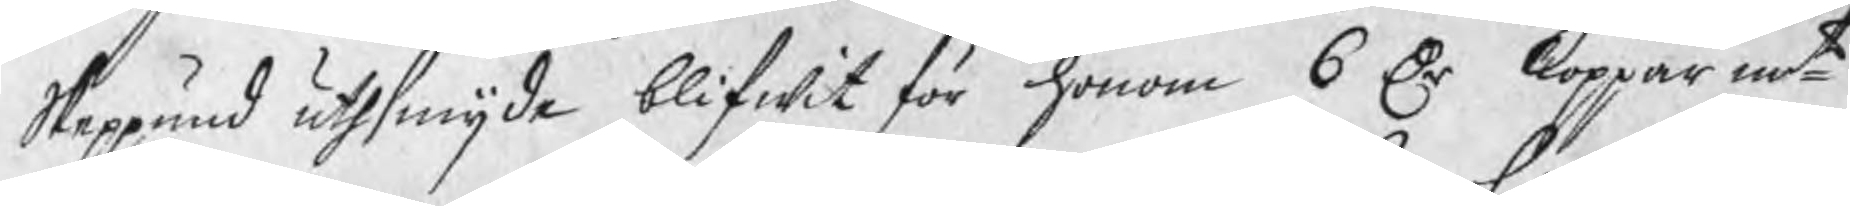Skeppund uthsmijde blifwit för honom 6 Dr kopparmt
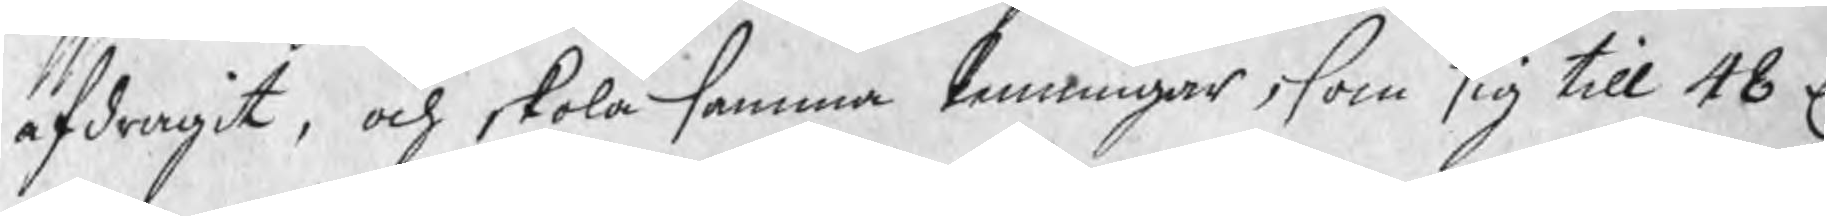afdragit, och skola samma Penningar, som sig till 48 D
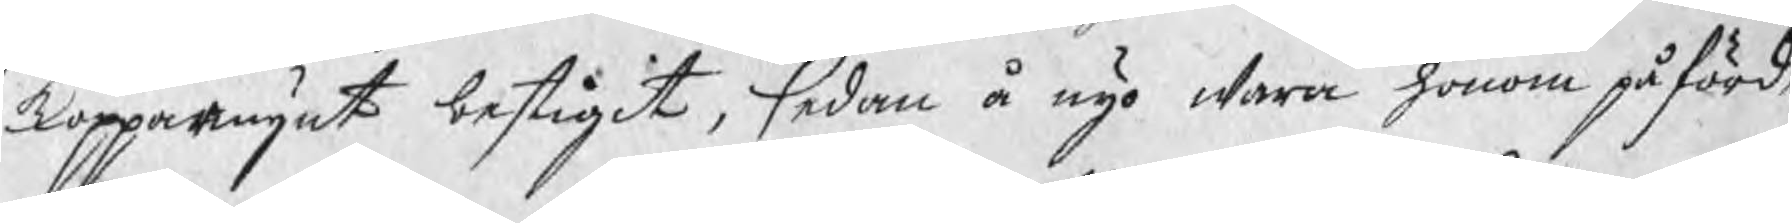kopparmynt bestigit,sedan å nyo wara honom påförde,
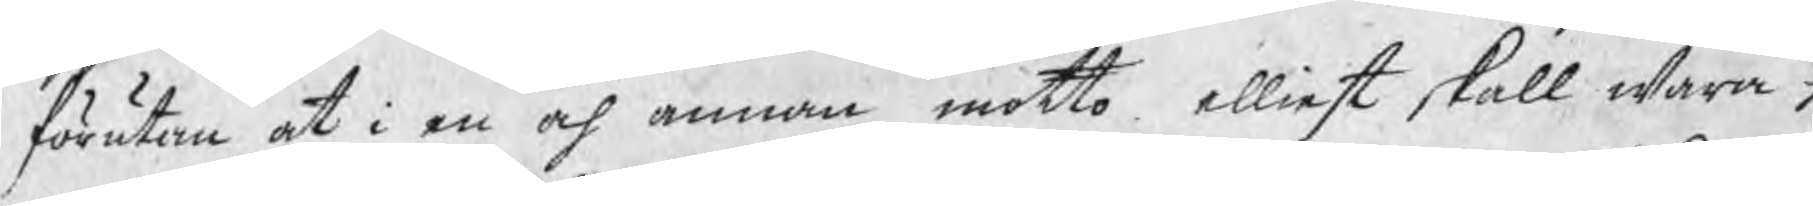förutan at i en af annan motto elliest skall wara h
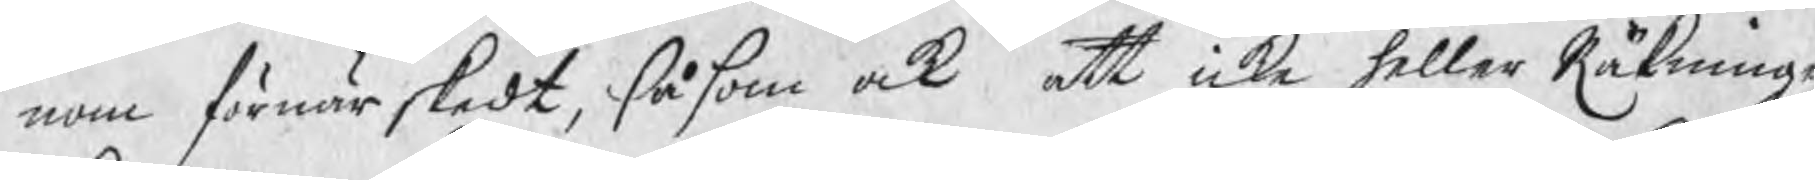nom förnär skedt, såsom ock att icke heller Räkninge
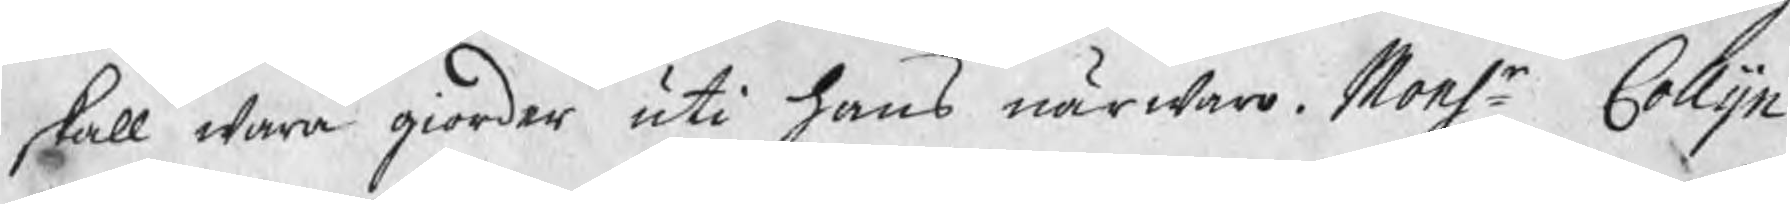skall wara giorder uti hans närwaro. Monsr Collijn
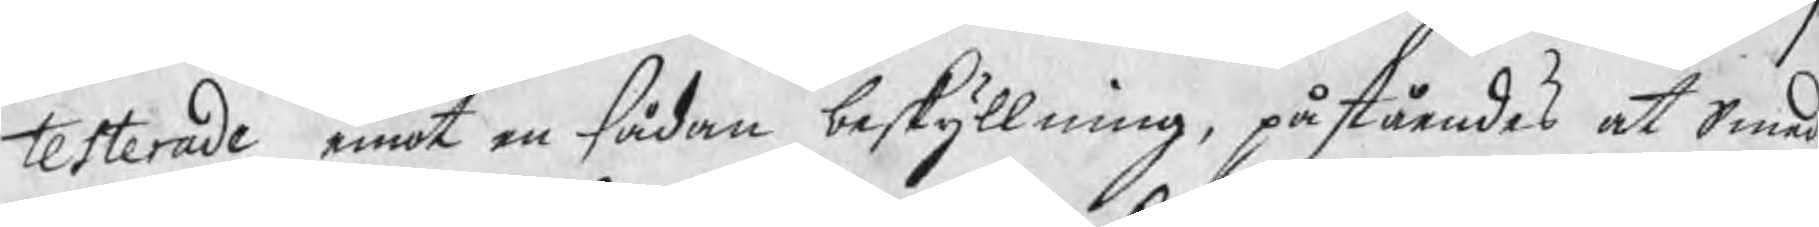testerade emot en sådan beskyllning, påståendes at Smed
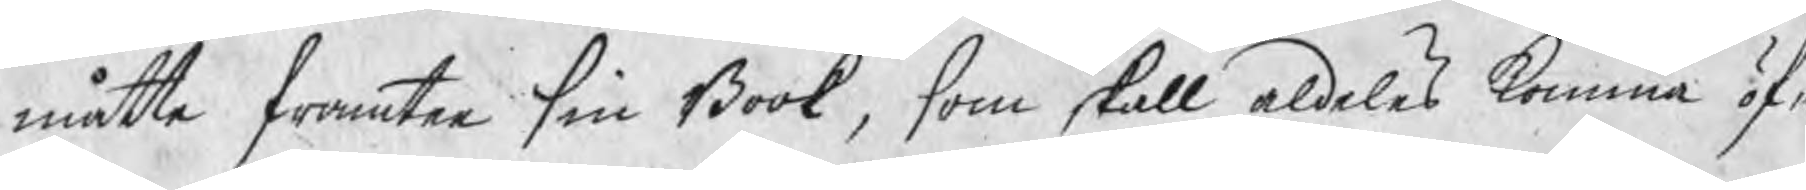måtte framtee sin Book, som skall aldeles komma öfw
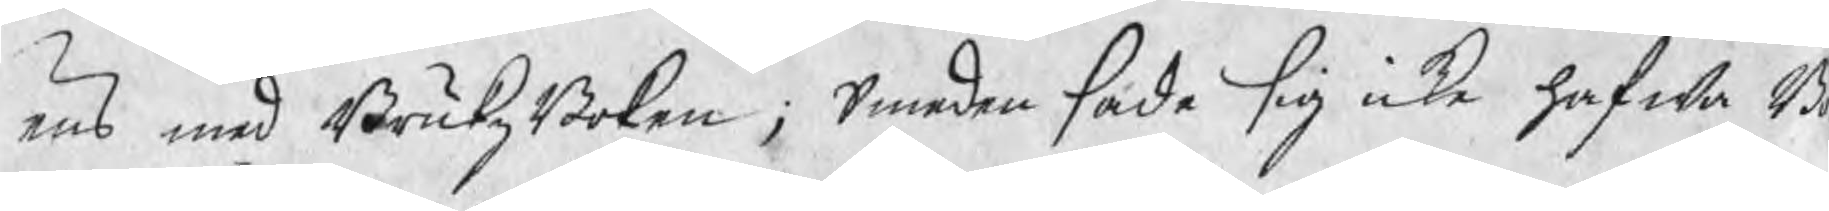ens med BrukzBoken; Smeden hade sig icke hafwa B
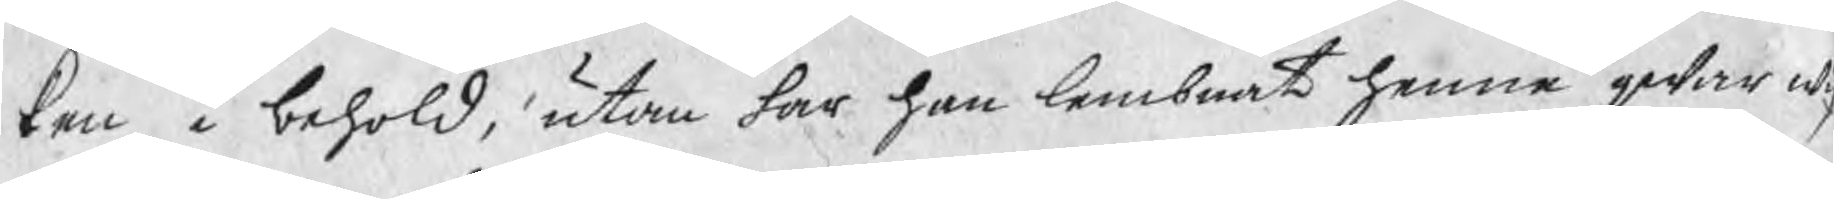ken i behold, utan har han lembnat henne qwar wi
